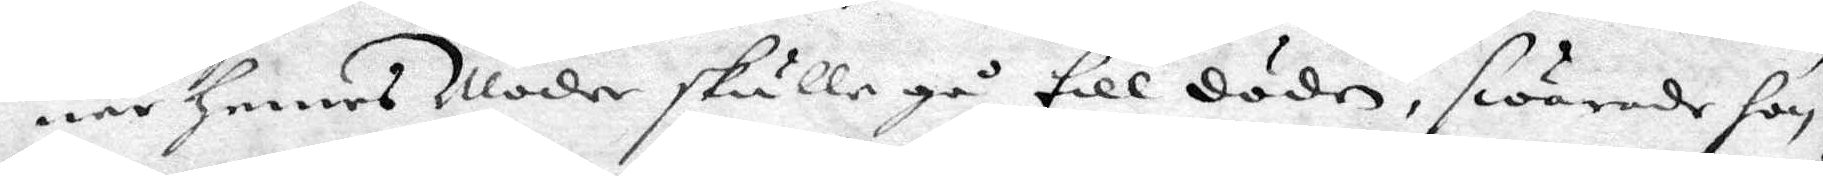när hennes Moder skulle gå till döden, swarade hon
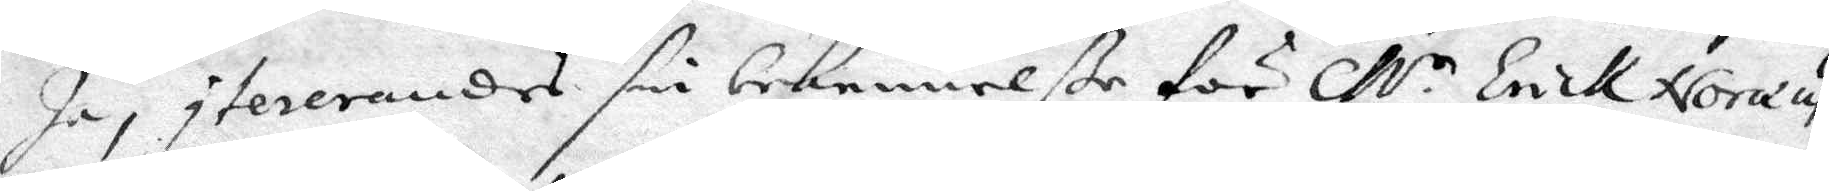Ja, itererandes sin bekennelße för M.r Erik Noræus 
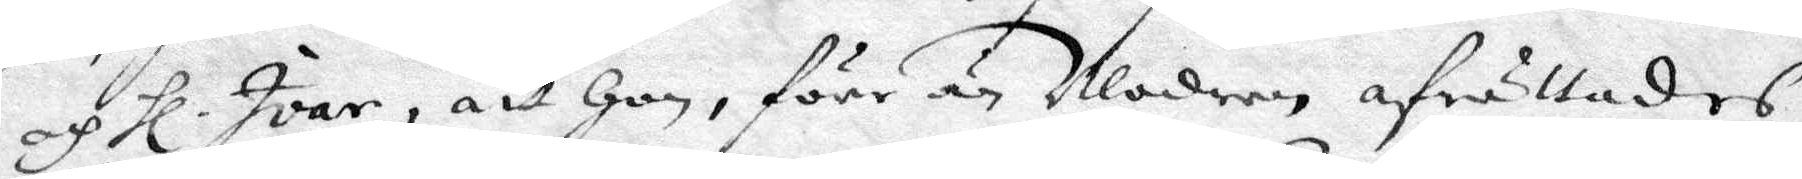af Hl. Ivar, att hon, förr än Modren afrättades, 
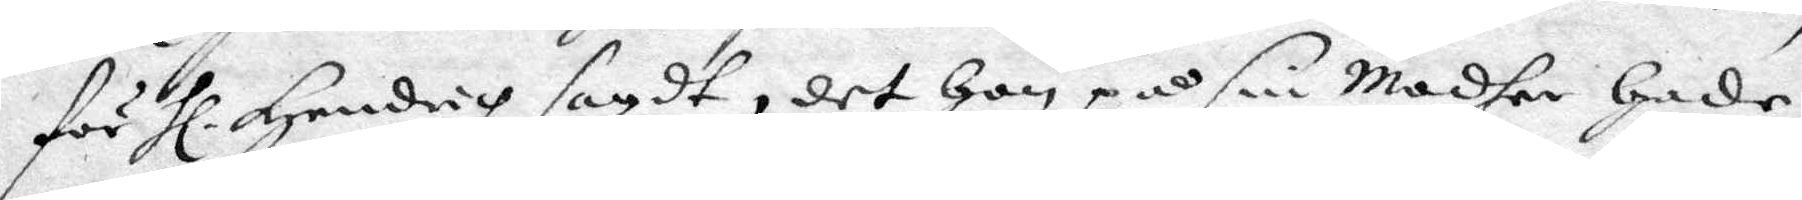för Hl Hendrich sagdt, det hon på sin Modher hade 
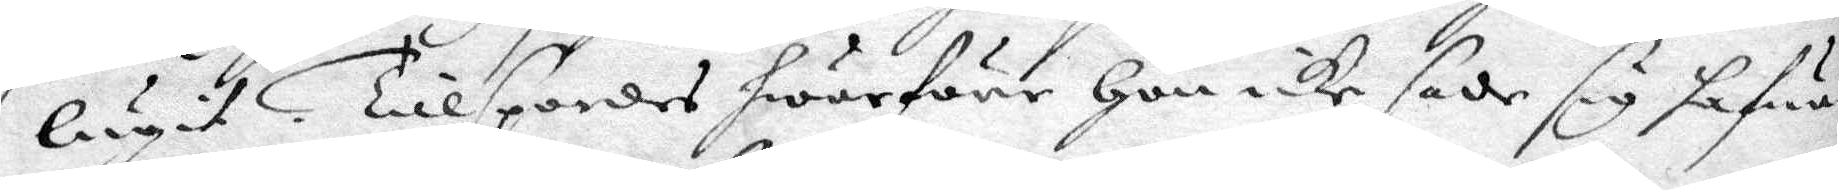lugit. Tillspordes hwarföre hon icke sade sig hafwa
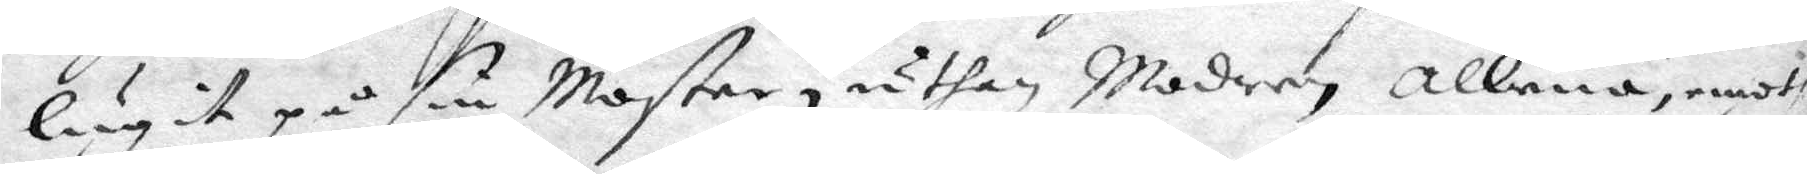lugit på sin Moster, uthan Modren allena, emoth
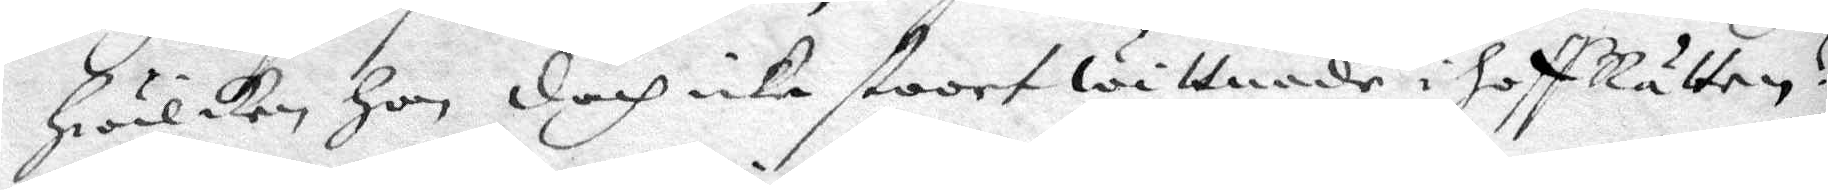hwilken hon doch icke stoort wittnade i hoffRätten?
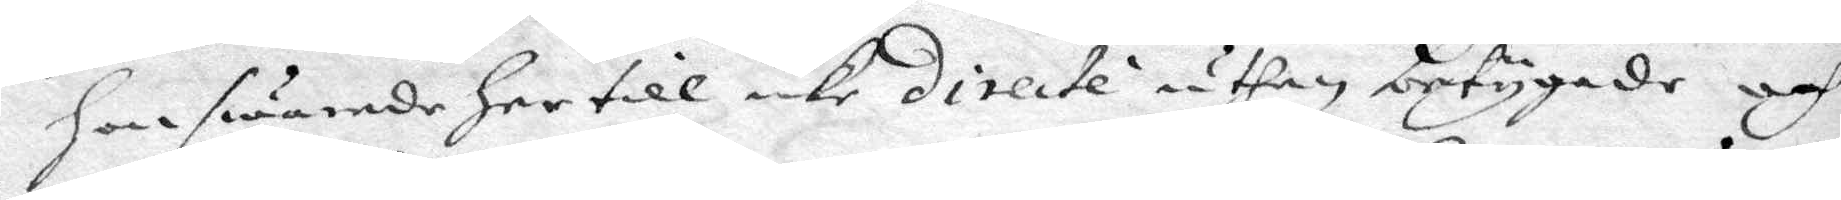hon swarade her till icke directe uthan betygade och
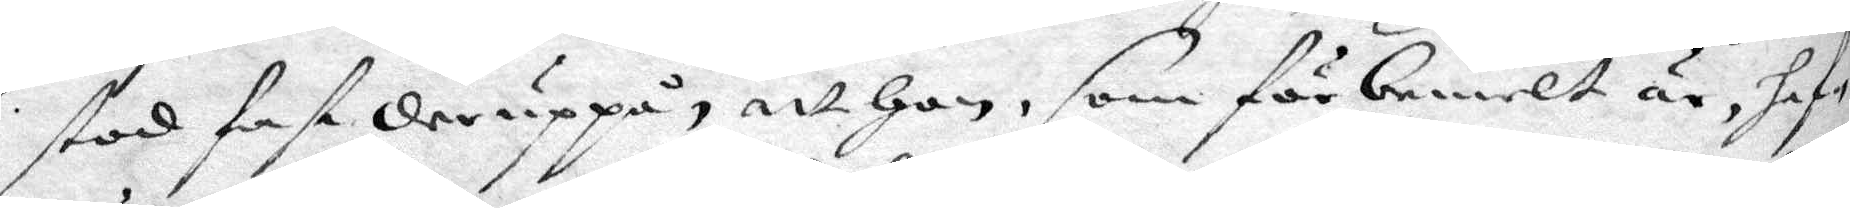stod fast deruppå, att hon, som förbemelt är, haf¬
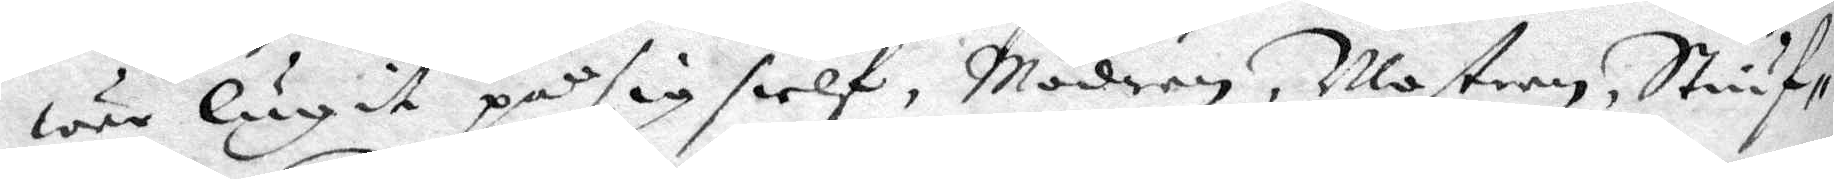wer lugit på sig sielf, Modren, Mostren, Stiuf¬
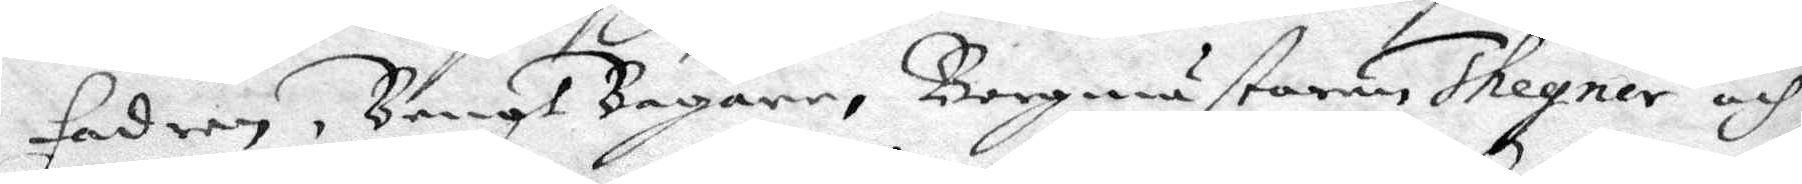fadren, Bengt Bagare, Borgmästaren Thegner och
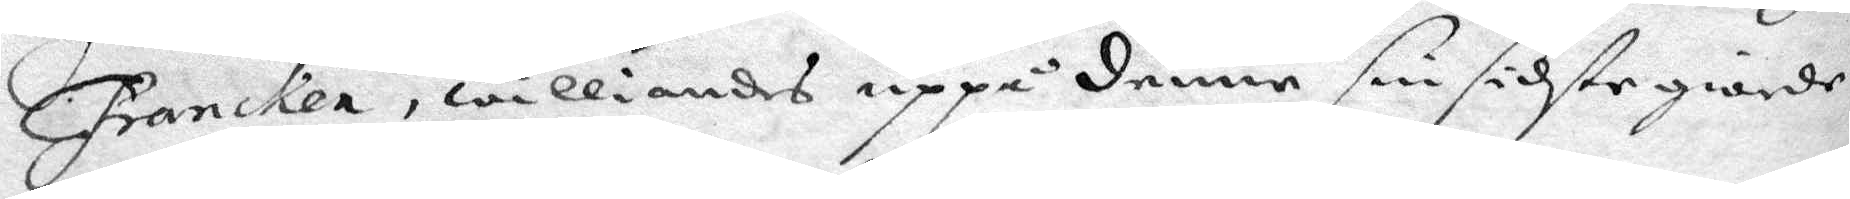Francken, williandes uppå denne sin sidste giorde
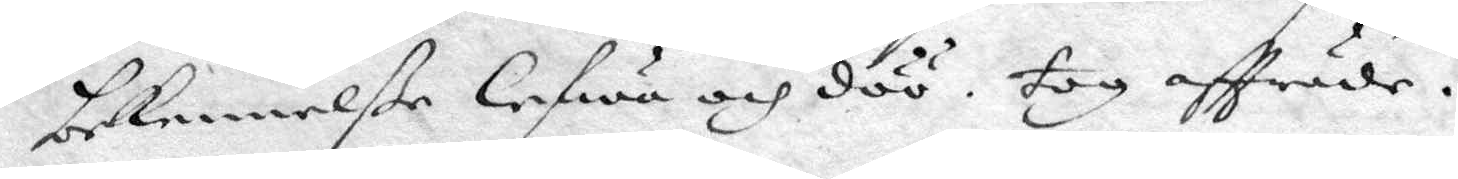bekennelße lefwa och döö, tog affträde.
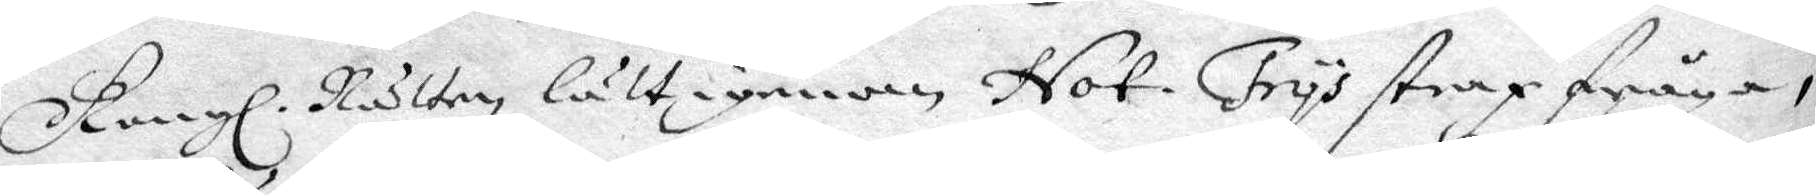Kongl. Rätten lätt igenom Not: Frys strax fråga, 
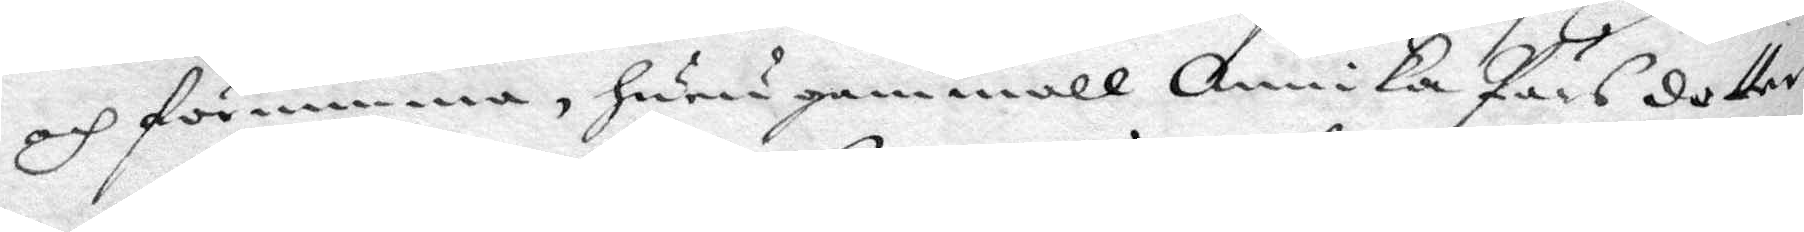och förnimma, huru gammall Annika Pärsdotter
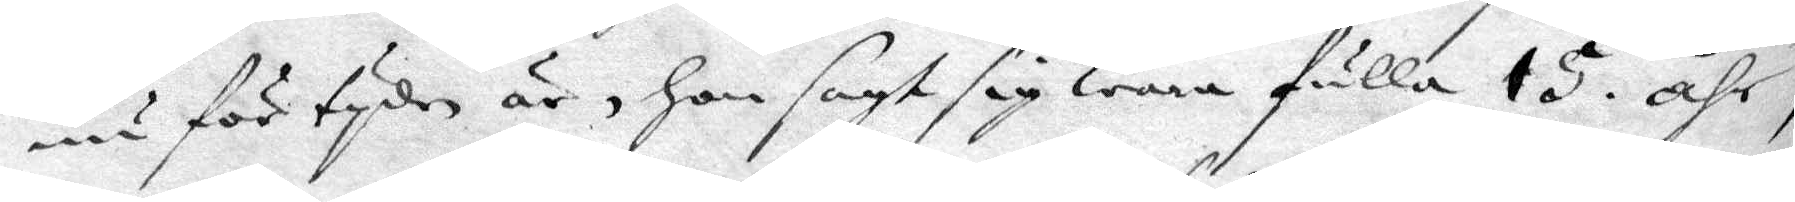nu för tyden är, hon sagt sig wara fulla 15 åhr,
